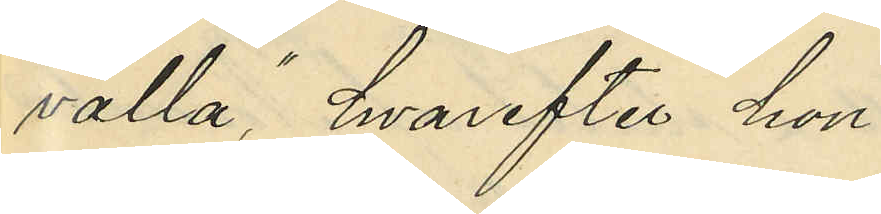valla", hvarefter hon
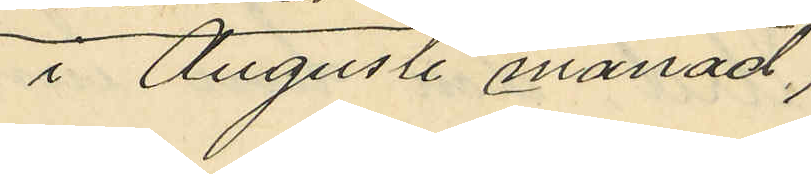i Augusti månad
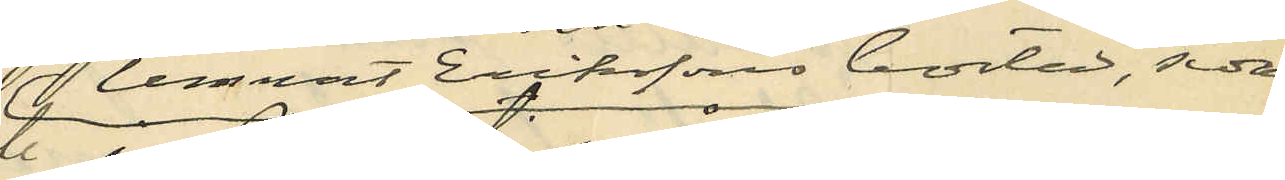lemnat Erikssons bostad, sedan
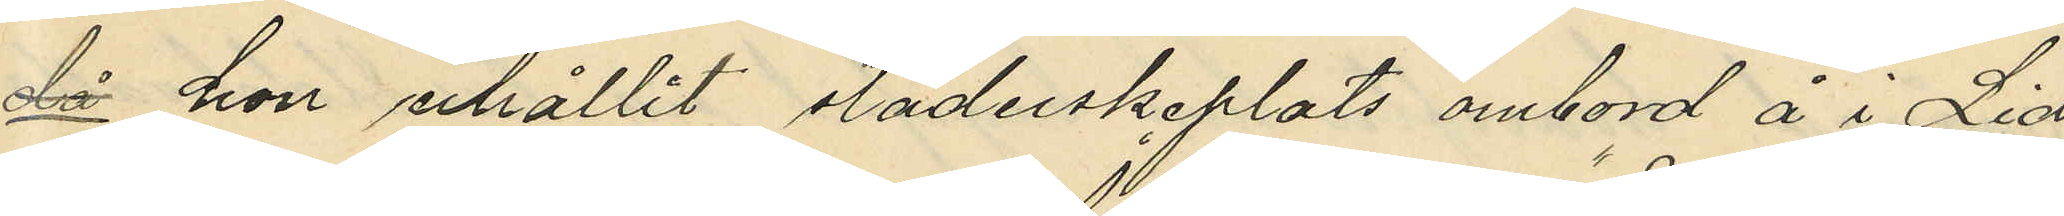då hon erhållit städerskeplats ombord å i Lid¬
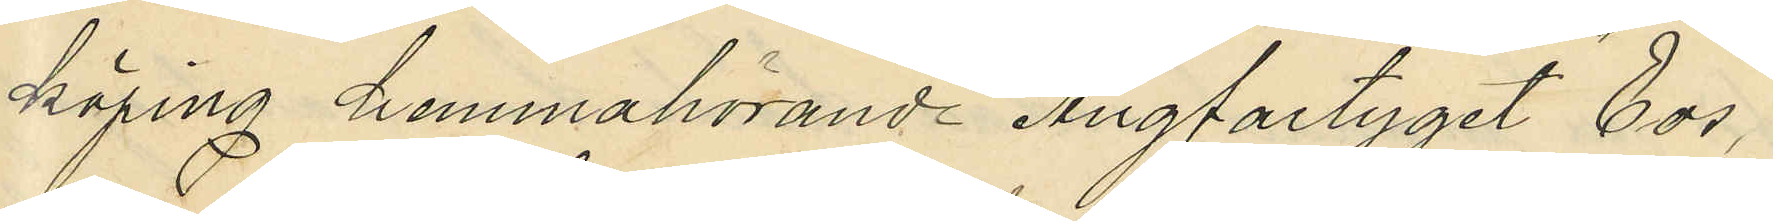köping hemmahörande Ångfartyget "Eos"
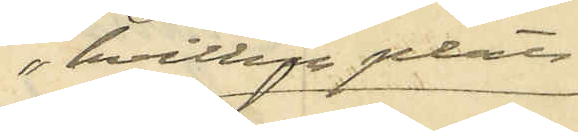hvilken plats
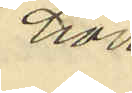hon
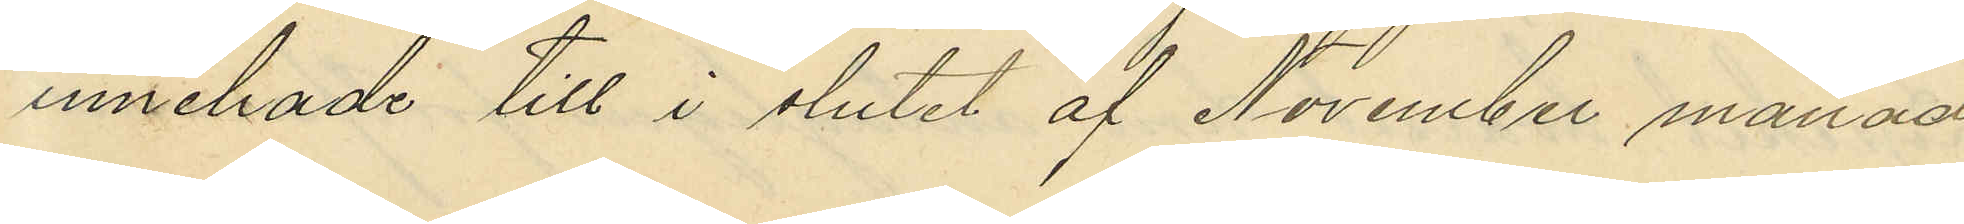innehade till slutet af November månad
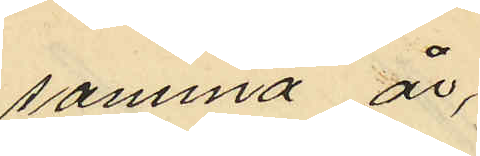samma år;
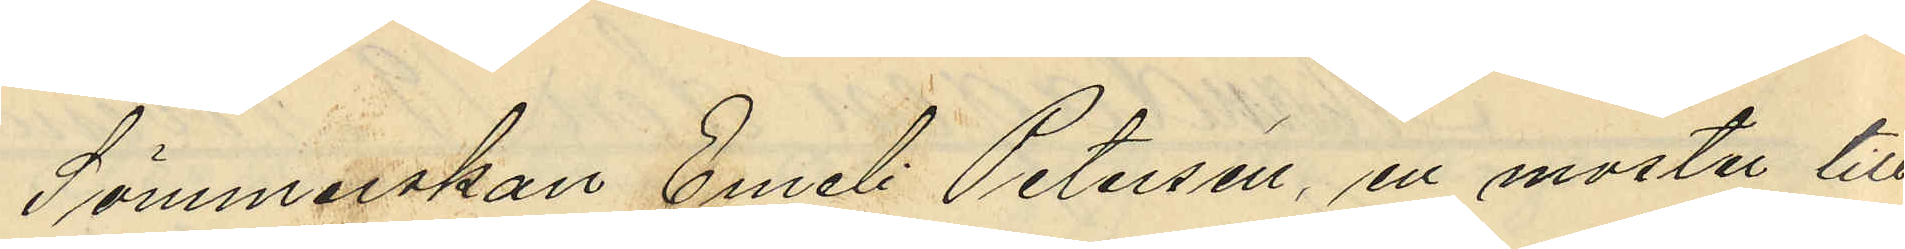Sömmerskan Emeli Petersson, en moster till
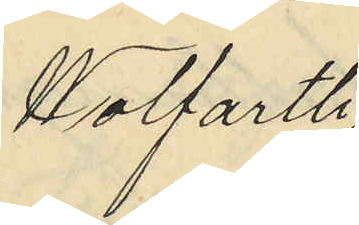Wolfarth
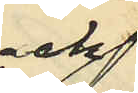och
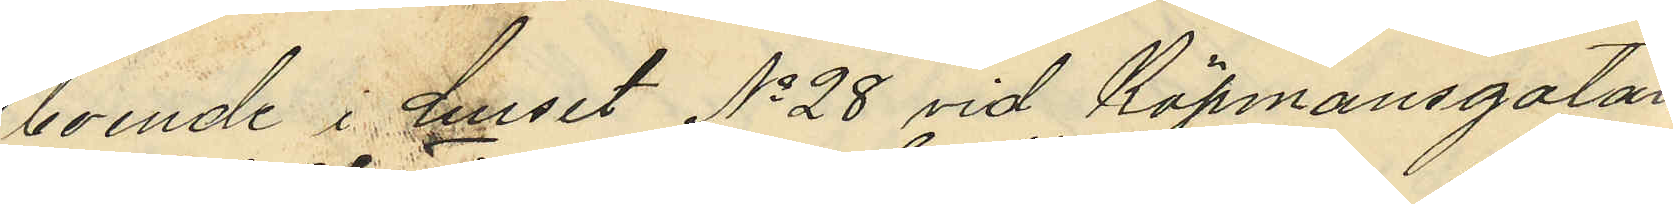boende i huset No 28 vid Köpmansgatan,
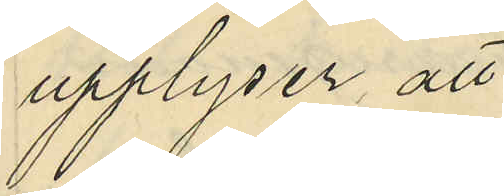upplyser att
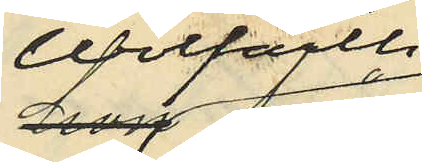Wolfarth
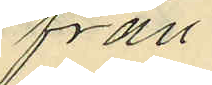från
